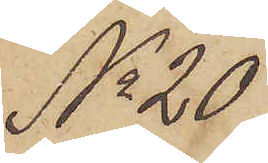No 20
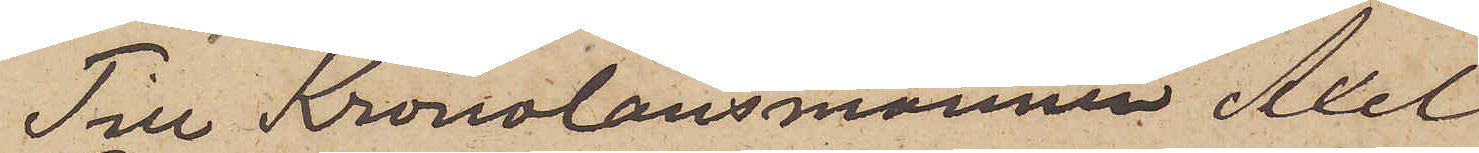Till Kronolänsmannen Axel
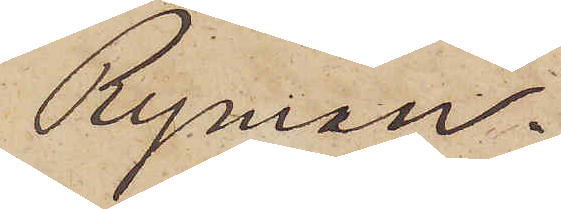Ryman.
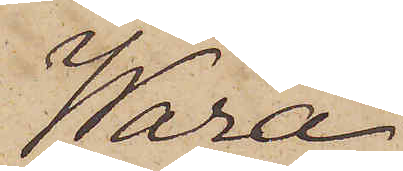Wara.
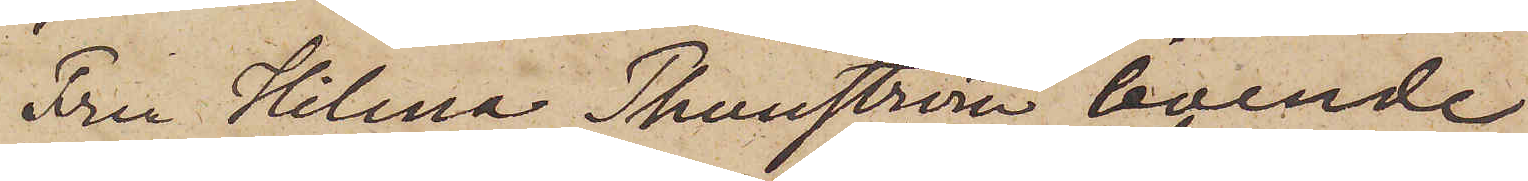Fru Hilma Thunström, boende
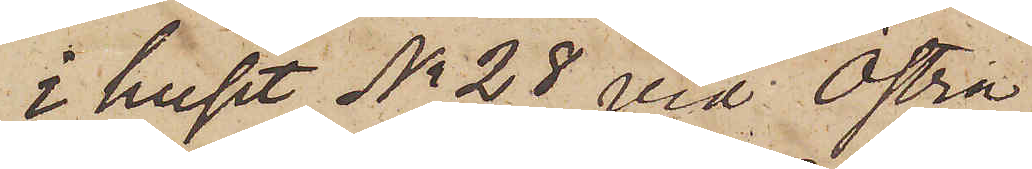i huset No 28 vid Östra
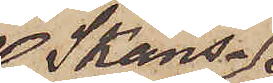Skans¬
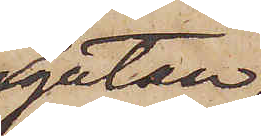gatan,
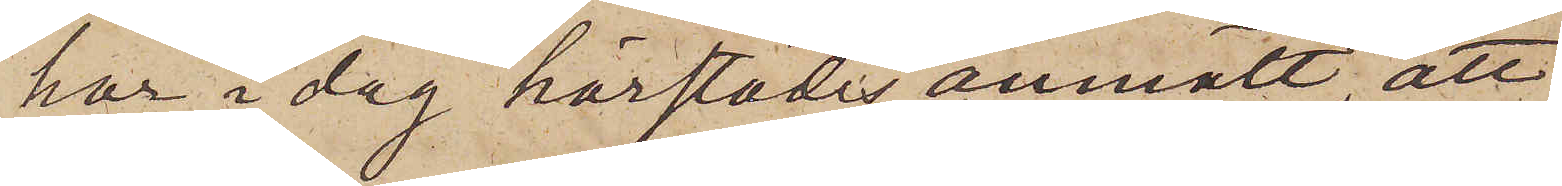har i dag härstädes anmält, att
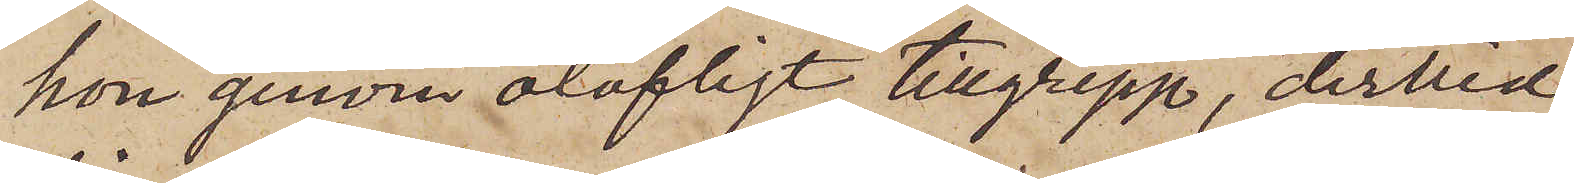hon genom olofligt tillgrepp, dervid
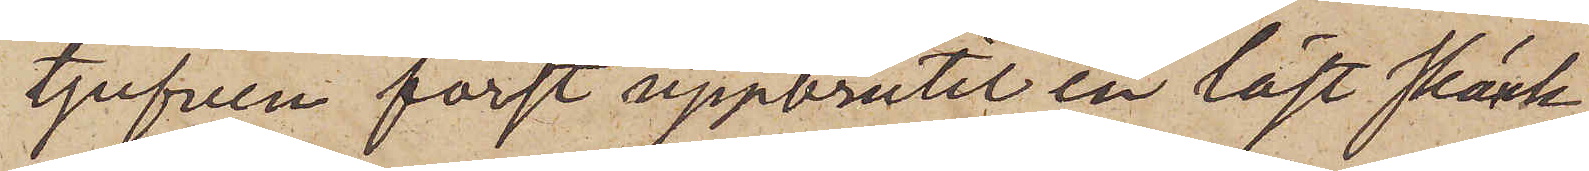tjufven först uppbrutit en låst skänk,
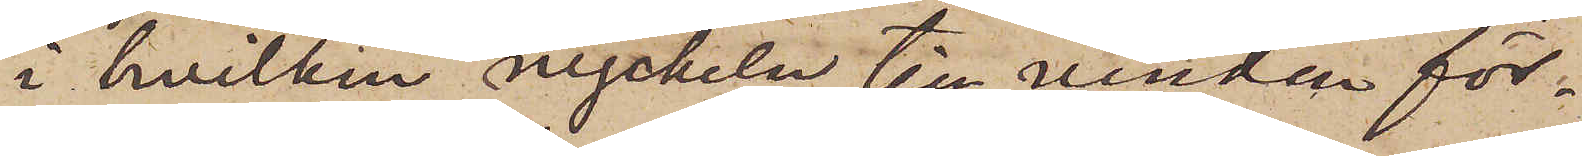i hvilken nyckeln till vinden för¬
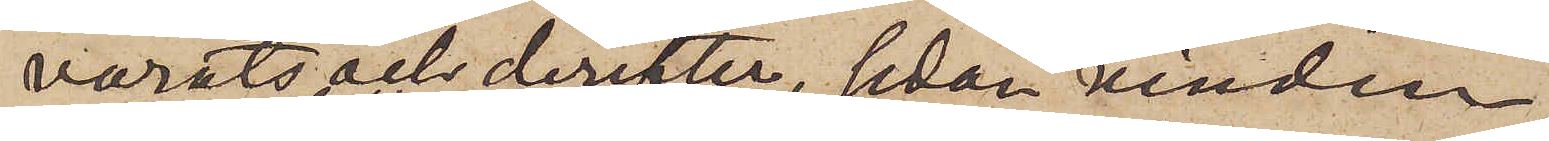varats och derefter, sedan vinden
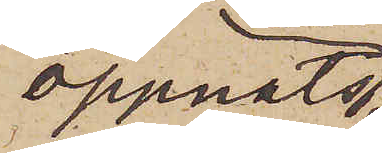öppnats
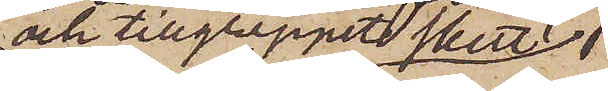och tillgreppet skett,
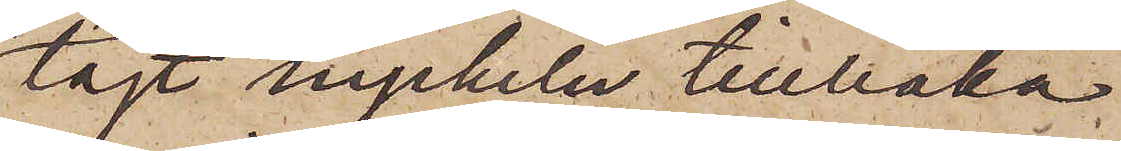lagt nyckeln tillbaka
